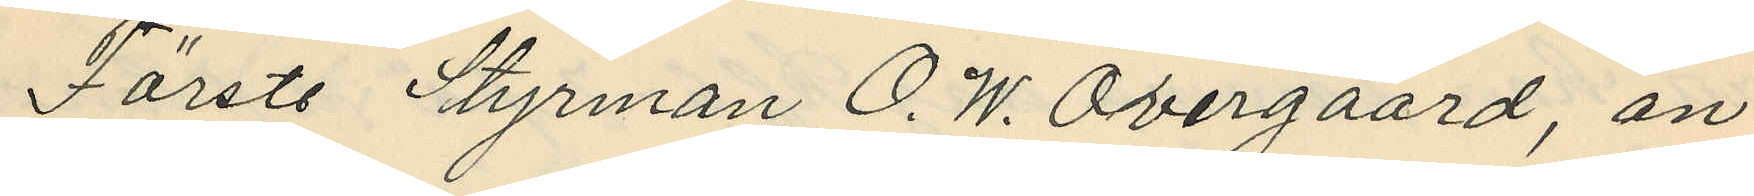Förste Styrman O. W. Övergaard, an¬
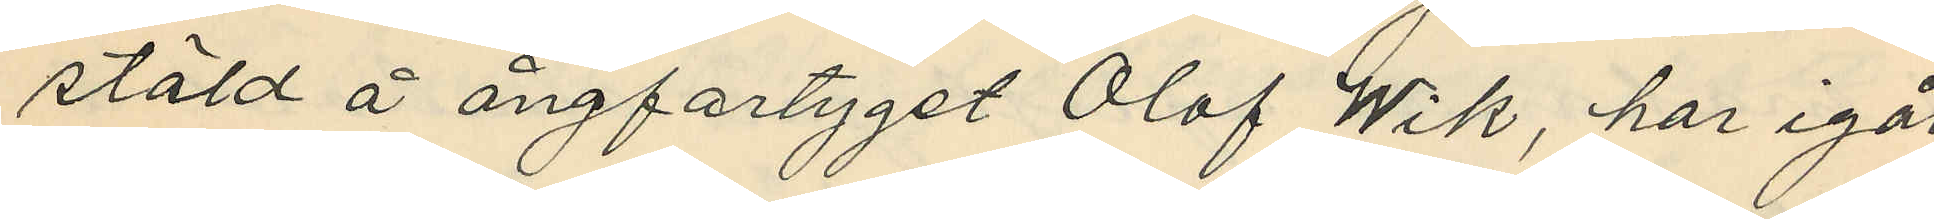stäld å ångfartyget Olof Wik, har igår
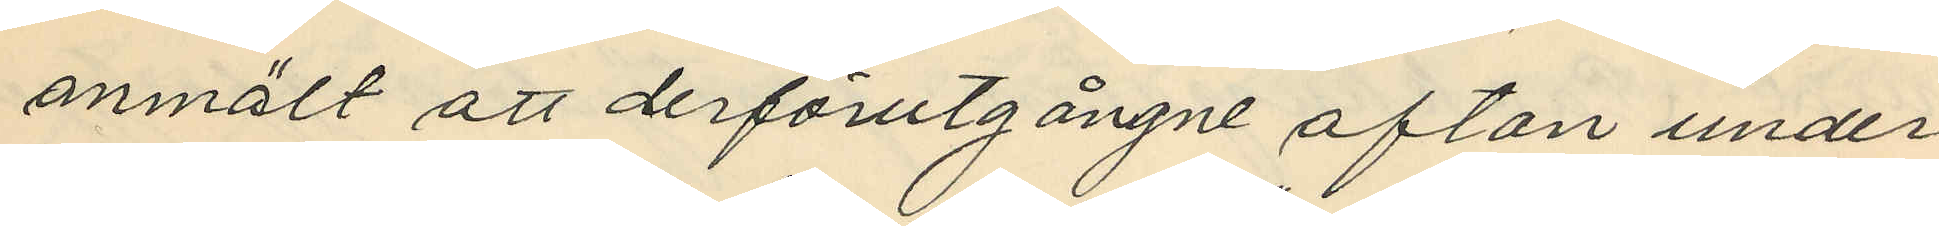anmält att derförutgångne afton under
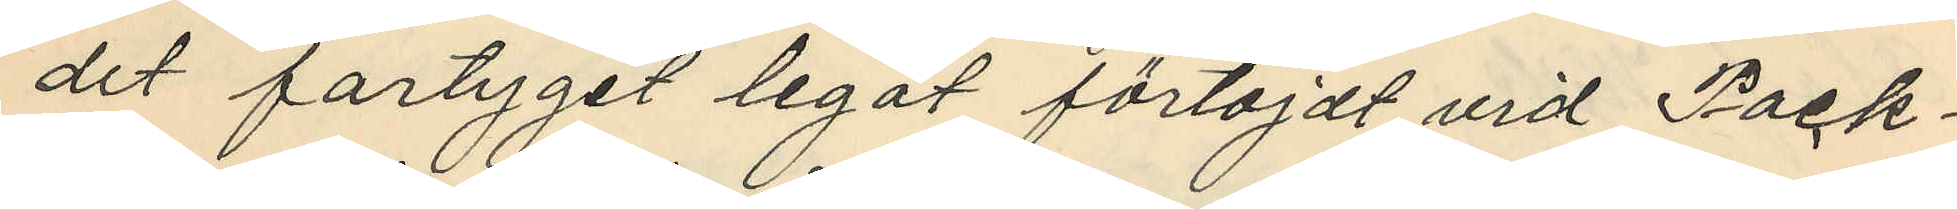det fartyget legat förtöjdt vid Pack¬
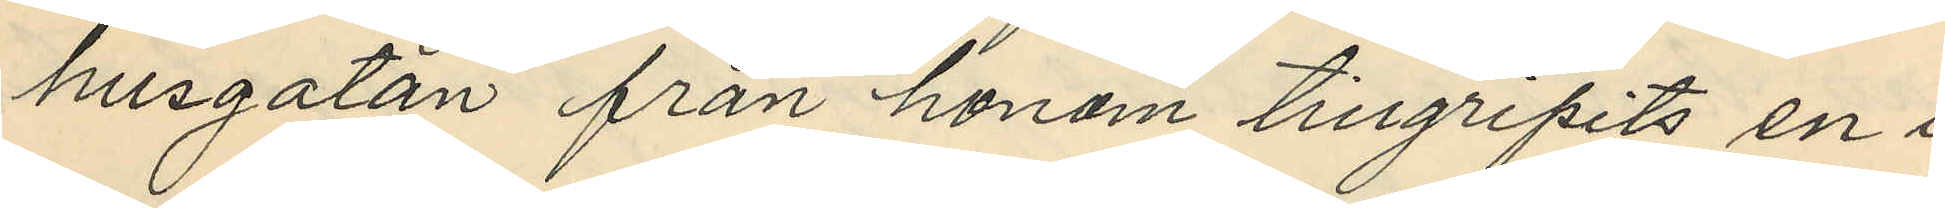husgatan från honom tillgripits en i
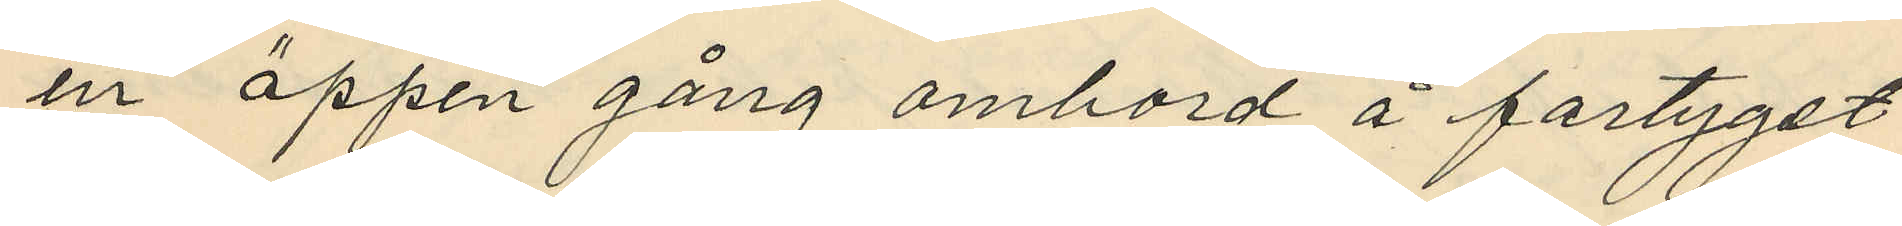en öppen gång ombord å fartyget
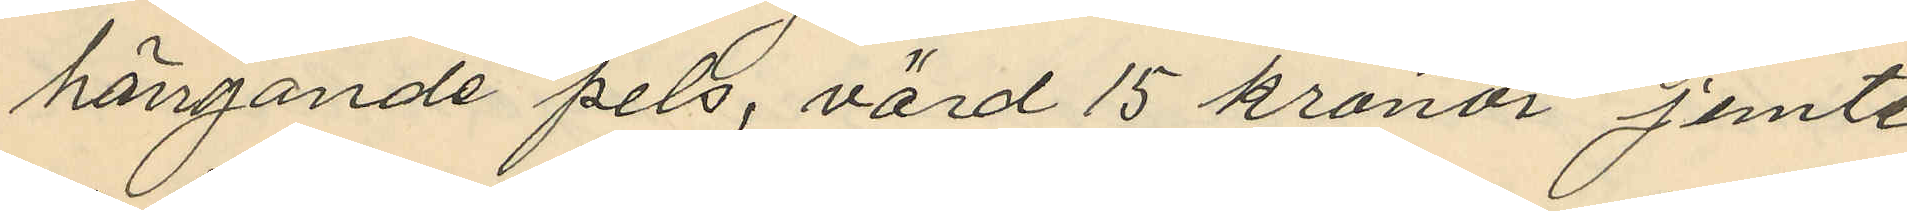hängande pels, värd 15 kronor jemte
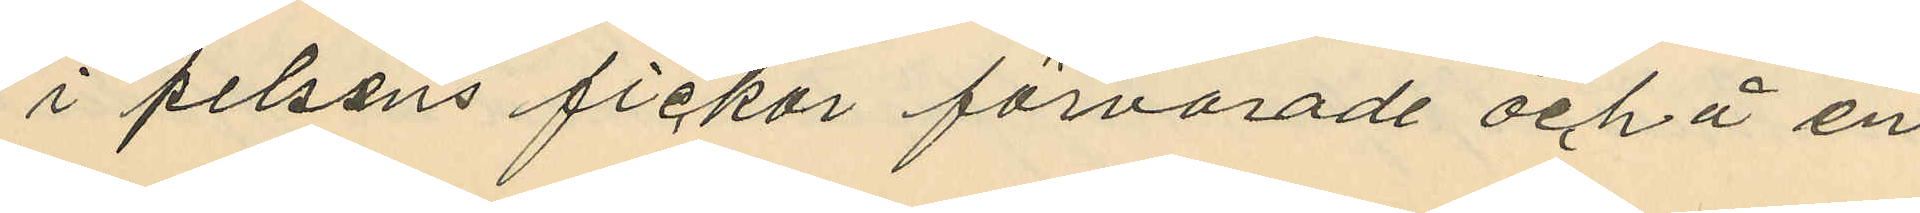i pelsens fickor förvarade och å en
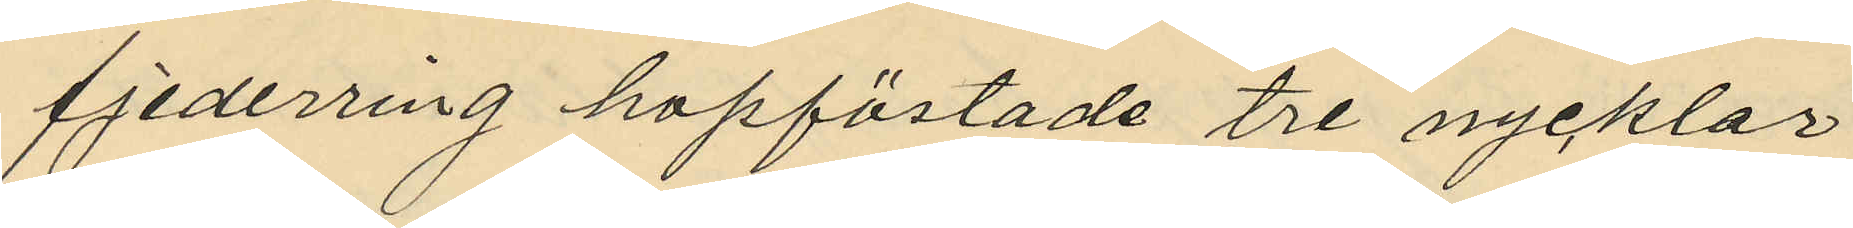fjederring hopfästade tre nycklar
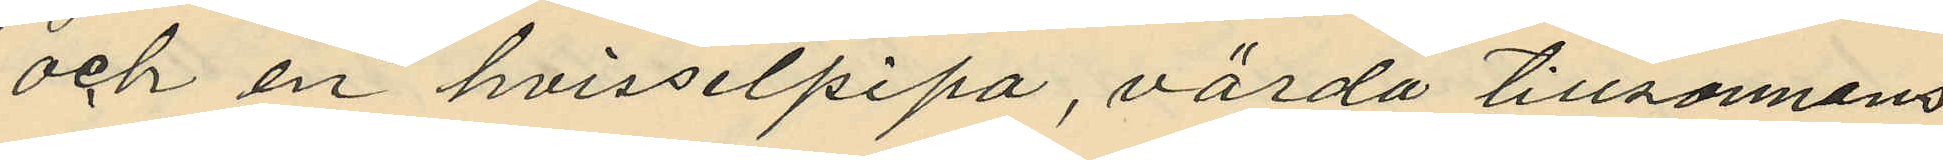och en hvisselpipa, värda tillsannans
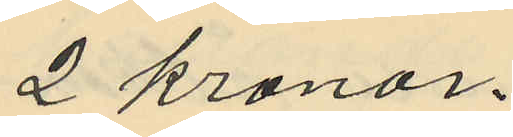2 kronor.
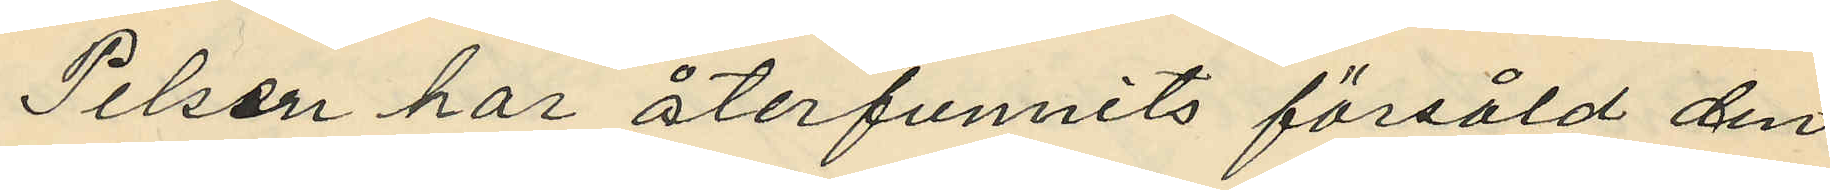Pelsen har återfunnits försåld den
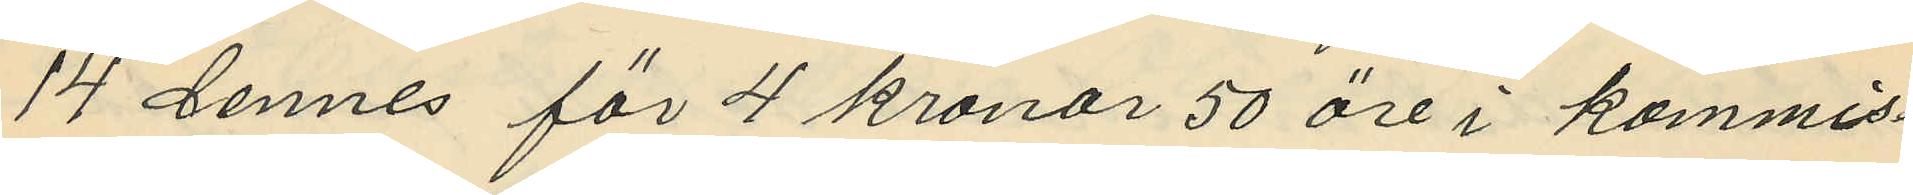14 dennes för 4 kronor 50 öre i kommis¬
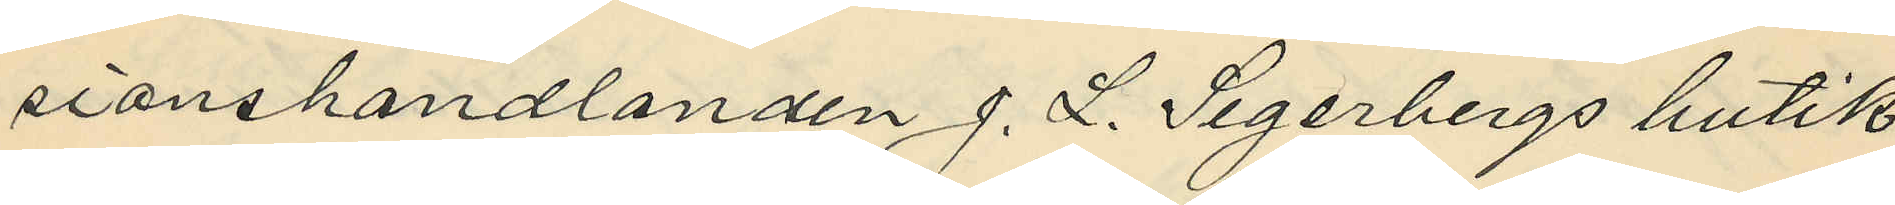sionshandlanden J. L. Segerbergs butik
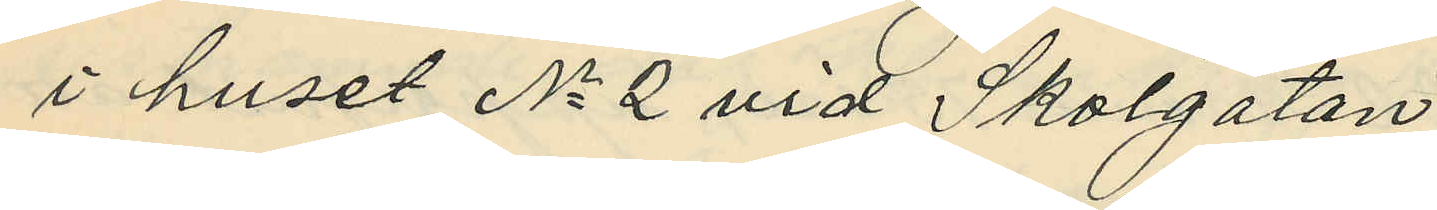i huset No 2 vid Skolgatan.
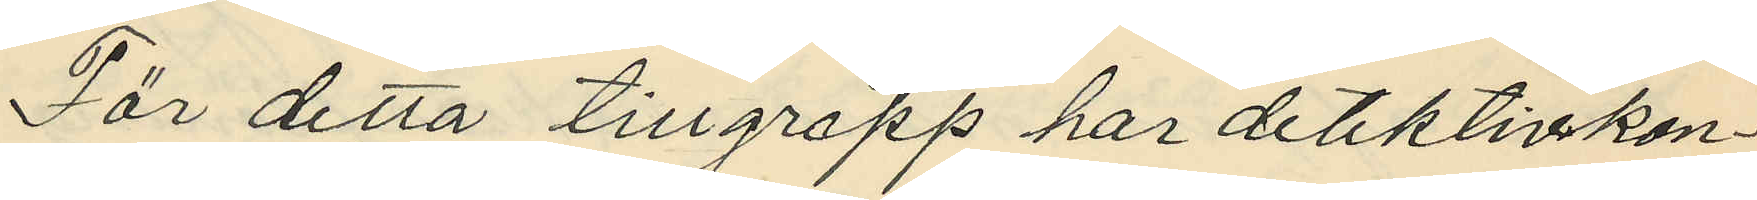För detta tillgrepp har detektivkon¬
